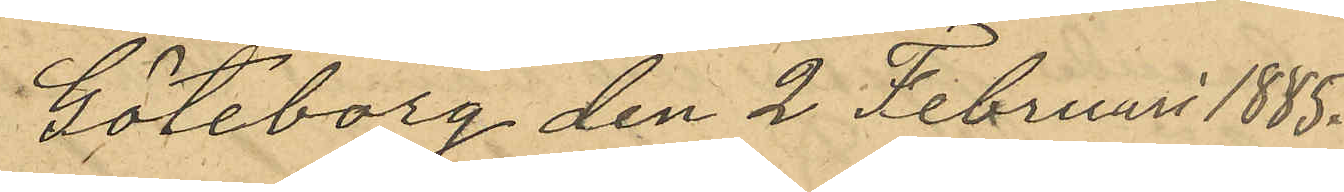Göteborg den 2 Februari 1885.
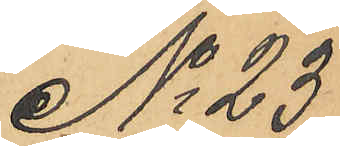No 23
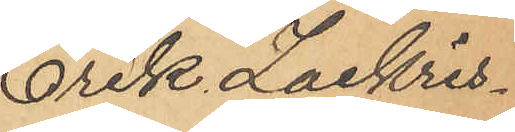Erik Zackris¬
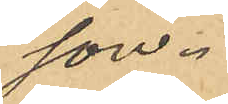son.
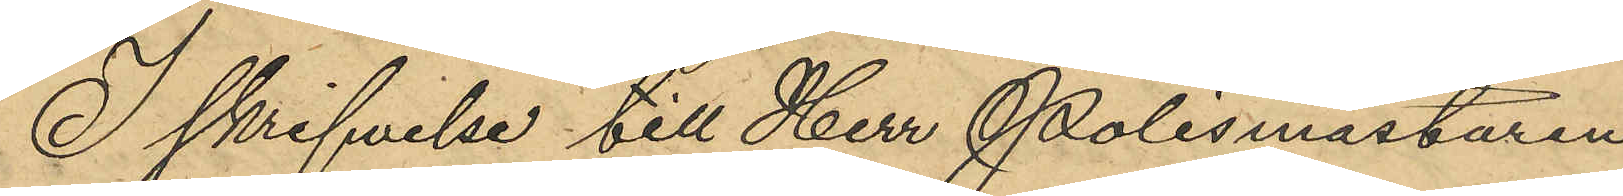I skrifvelse till Herr Polismästaren
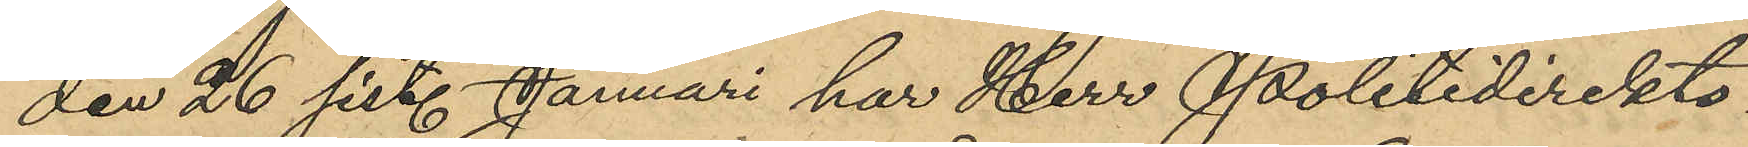den 26 sist. Januari har Herr Politidirektö¬
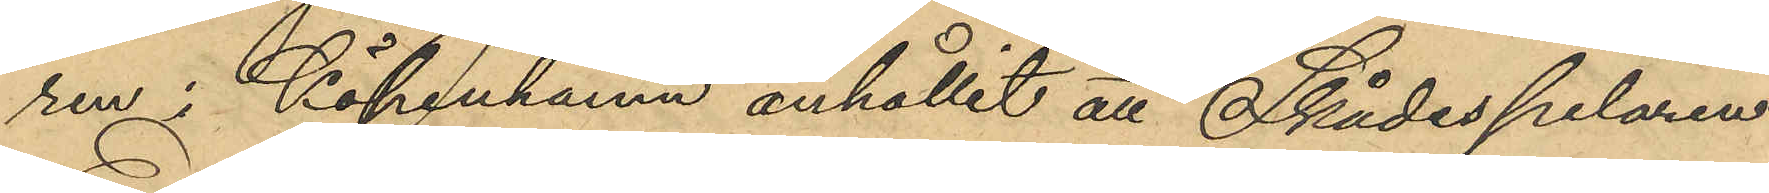ren i Köpenhamn anhållit att Skådespelaren
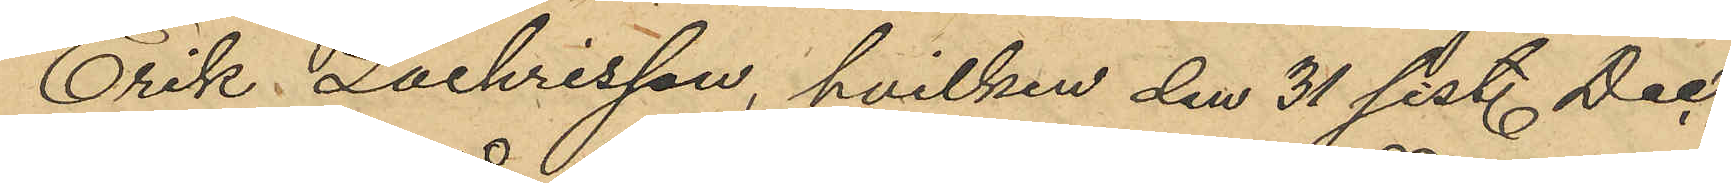Erik Zackrisson, hvilken den 31 sist. Dec.
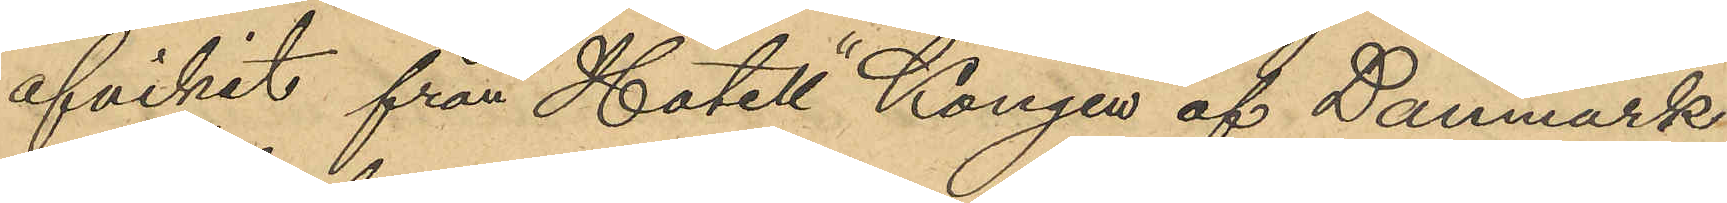afvikit från Hotell "Kongen af Danmark"
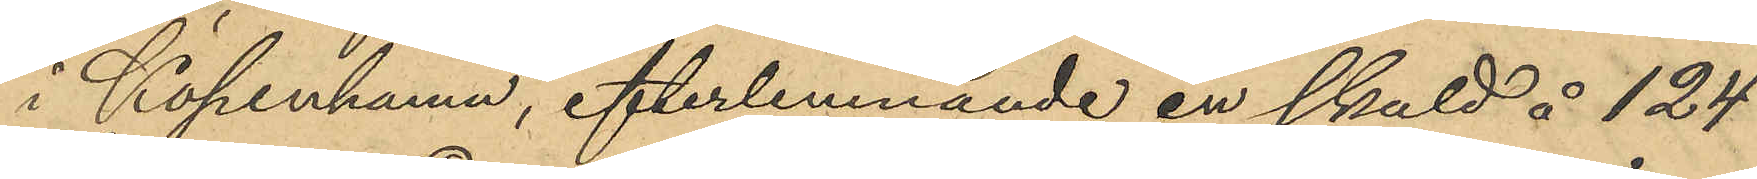i Köpenhamn, efterlemnande en skuld å 124
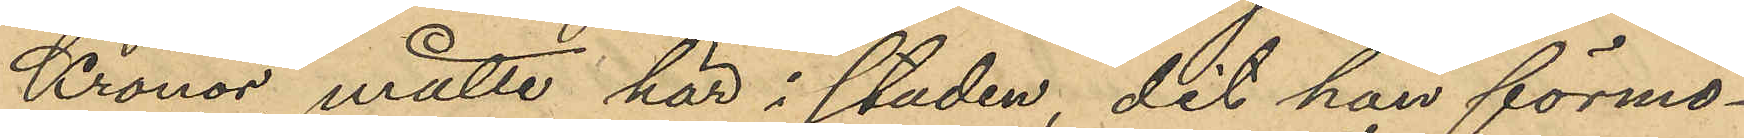Kronor, måtte här i staden, dit han förmo¬
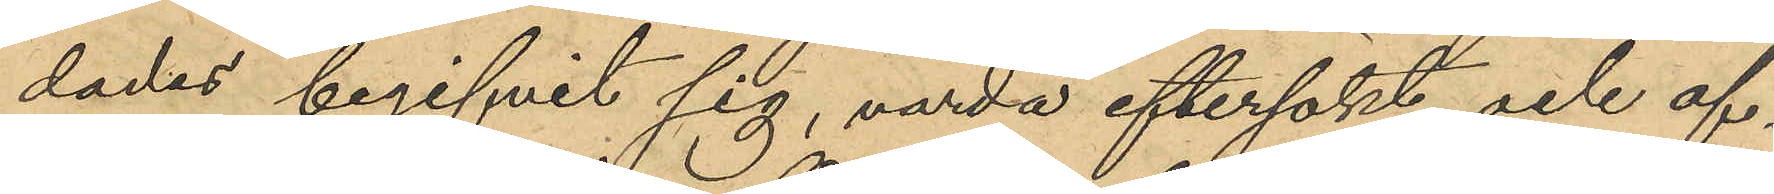dades begifvit sig, värda eftersökt och af¬
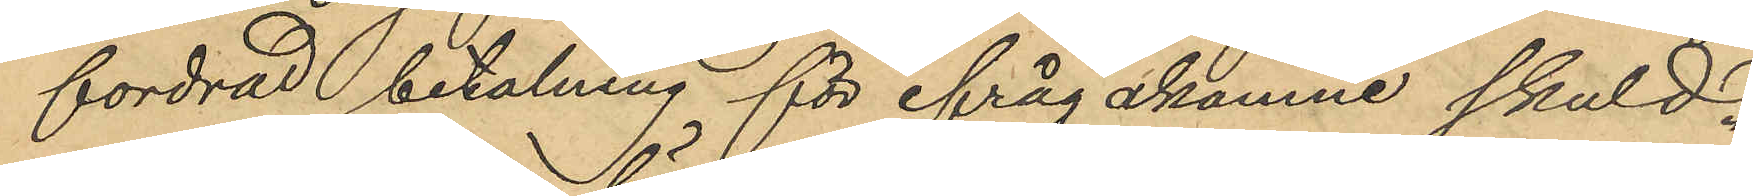fordrad betalning för ifrågakomne skuld.
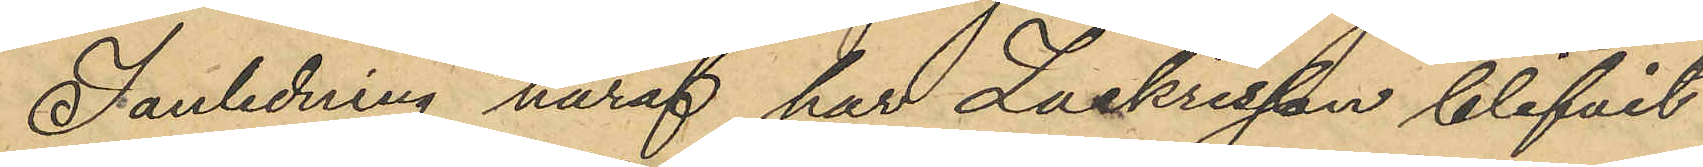I anledning häraf har Zackrisson blifvit
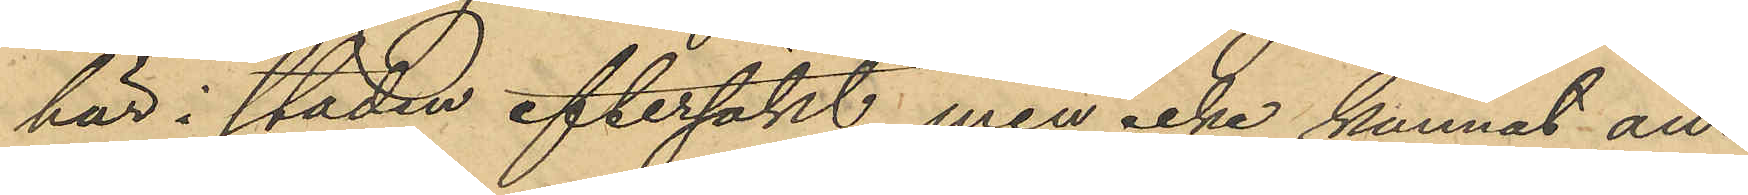här i staden eftersökt, men icke kunnat an¬
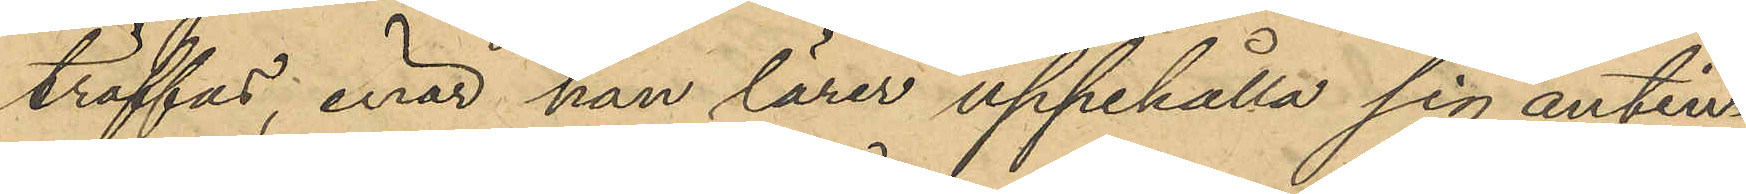träffas, enär han lärer uppehålla sig antin¬
